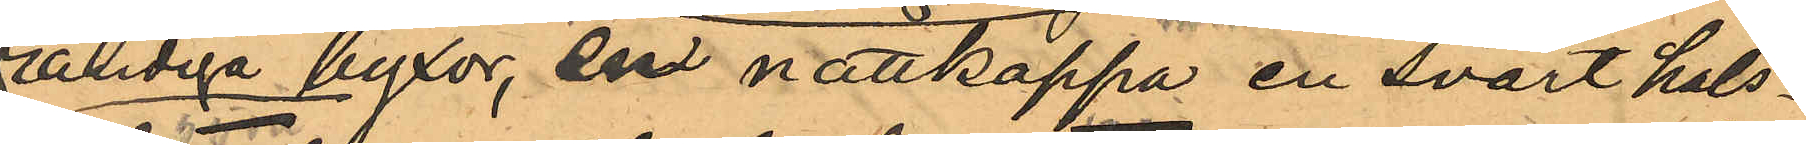randiga byxor, en nattkappa en svart hals¬
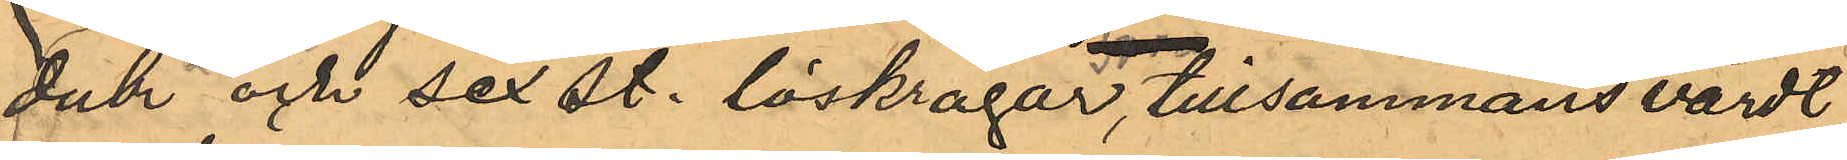duk och sex st. löskragar, tillsammans värdt
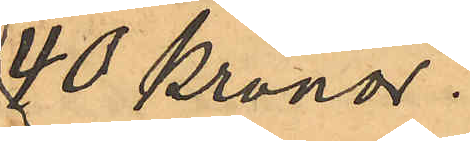40 Kronor.
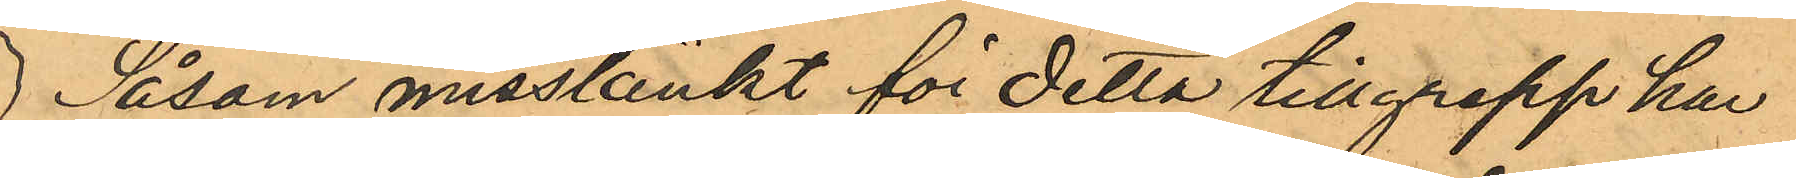Såsom misstänkt för detta tillgrepp har
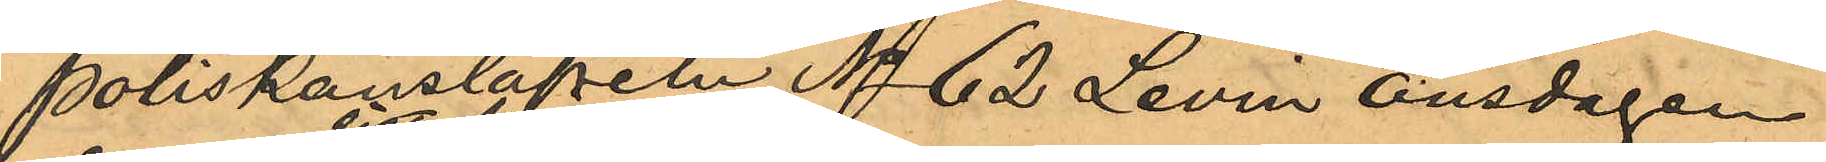Poliskonstapeln No 62 Levin onsdagen
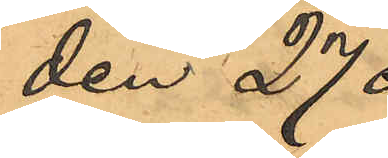den 27
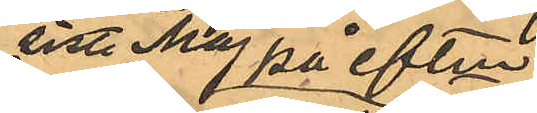sist. Maj på eftm
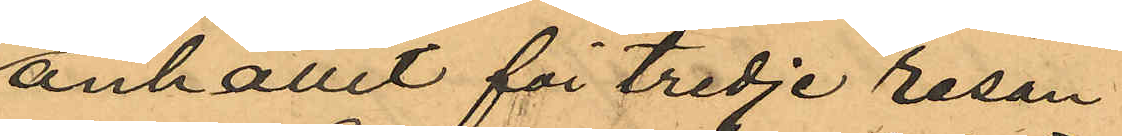anhållit för tredje resan
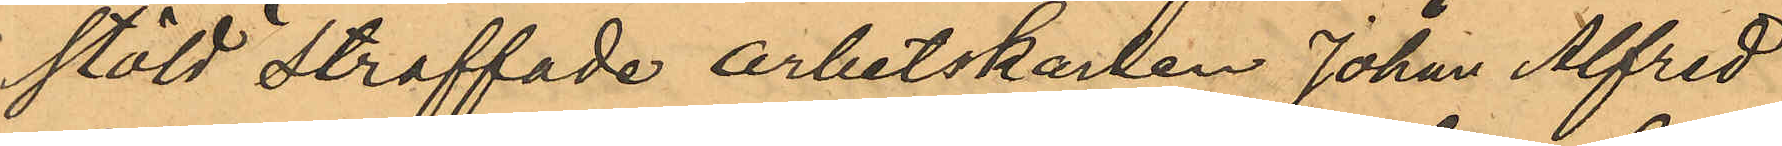stöld straffade arbetskarlen Johan Alfred
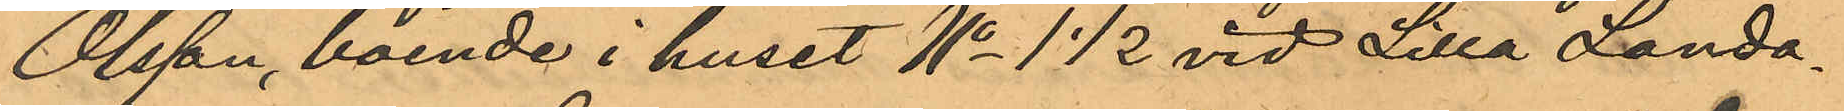Olsson, boende i huset No 1 1/2 vid Lilla Landa¬
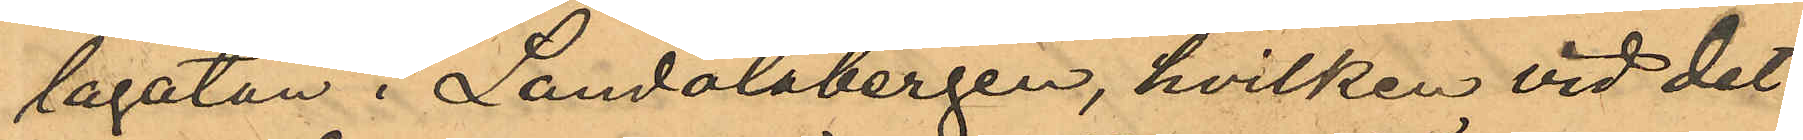lagatan i Landalabergen, hvilken vid det
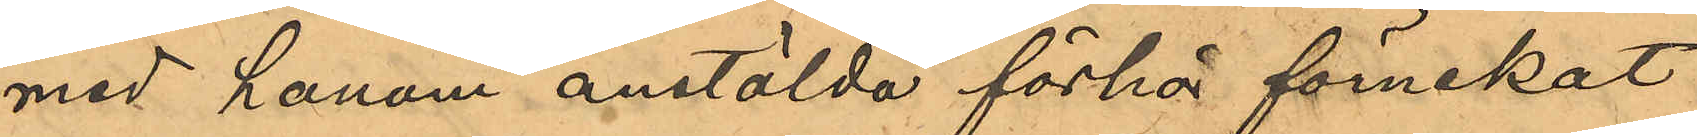med honom anstälda förhör förnekat
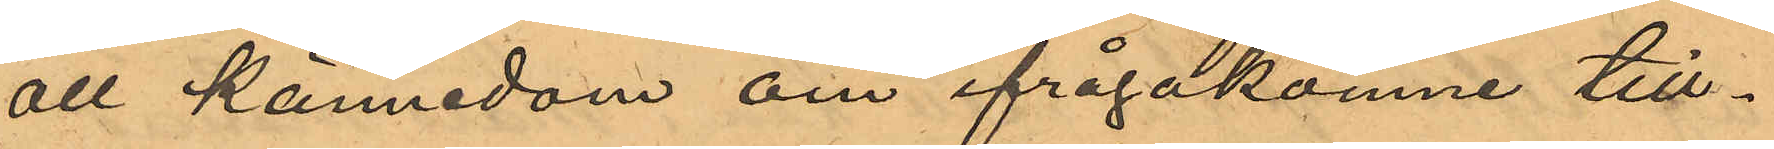all kännedom om ifrågakomne till¬
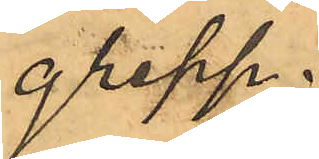grepp.
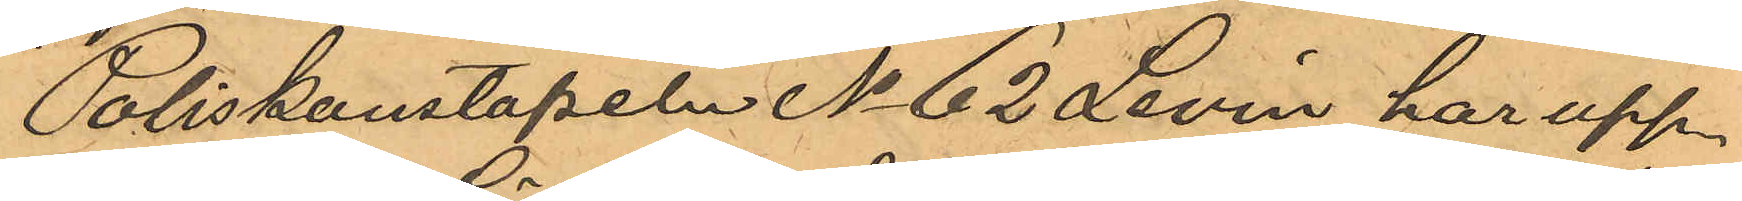Poliskonstapeln No 62 Levin har upp¬
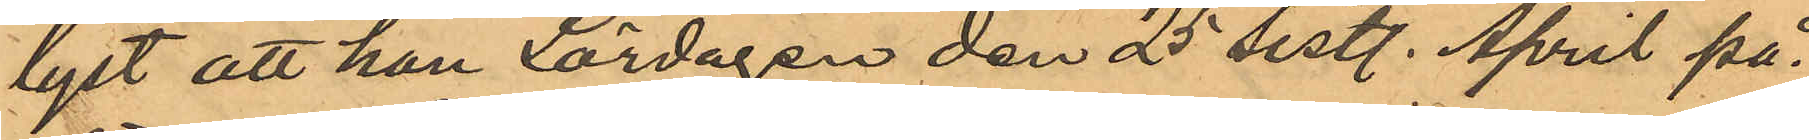lyst att han Lördagen den 25 sist. April på
